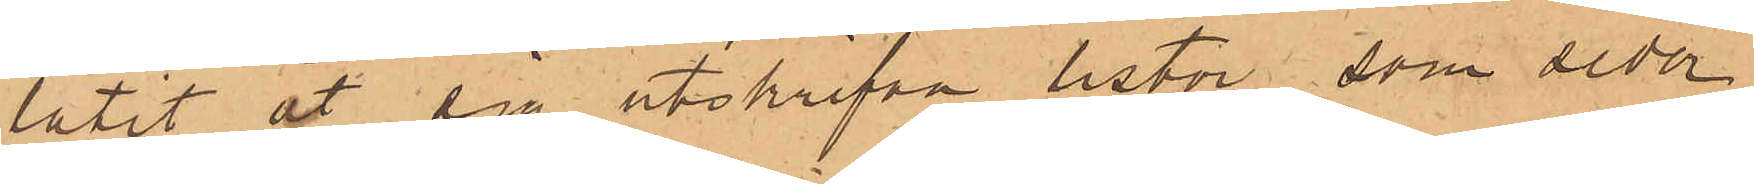låtit åt sig utskrifva listor, som seder¬
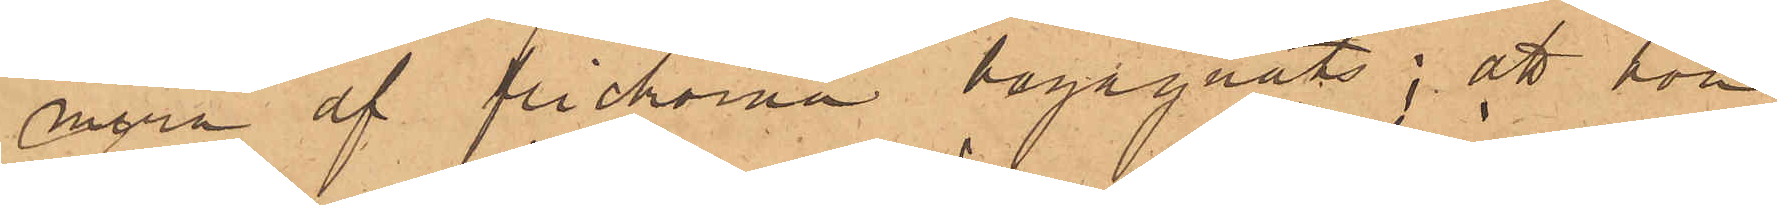mera af flickorna begagnats; att hon
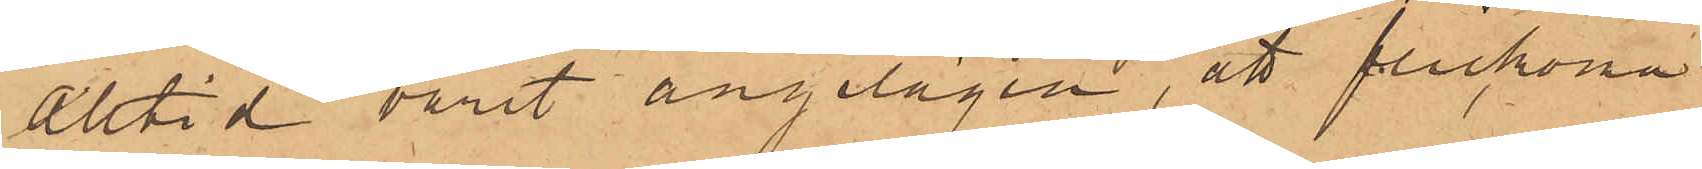alltid varit angelägen, att flickona
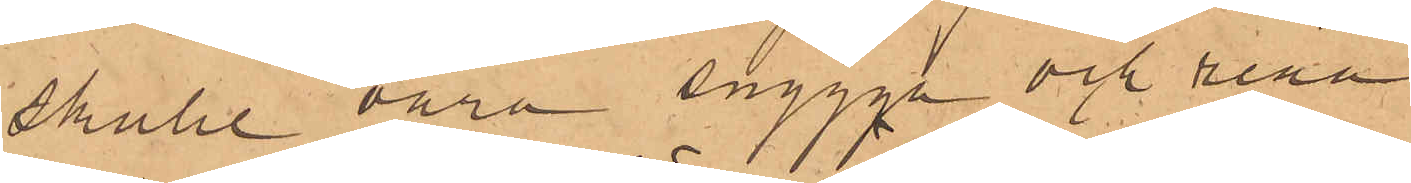skulle vara snygga och rena
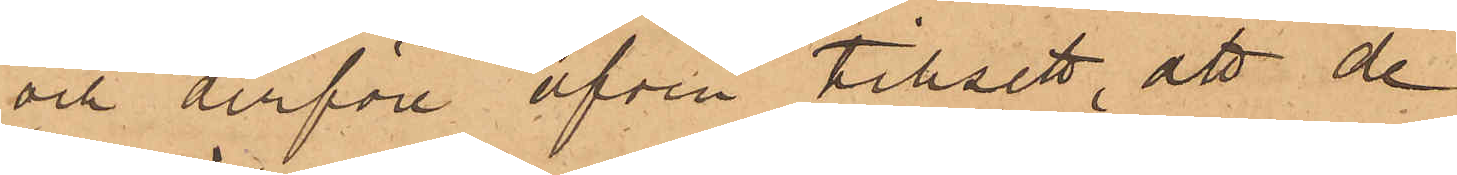och derföre äfven tillsett, att de
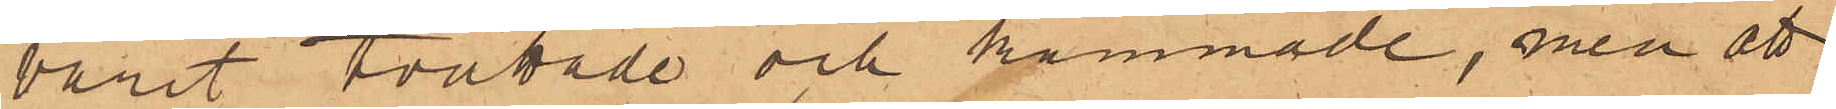varit tvättade och kammade, men att
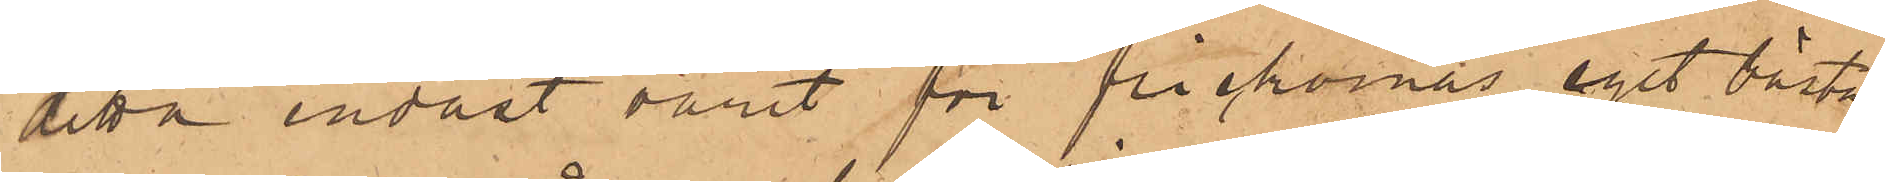detta endast varit för flickornas eget bästa
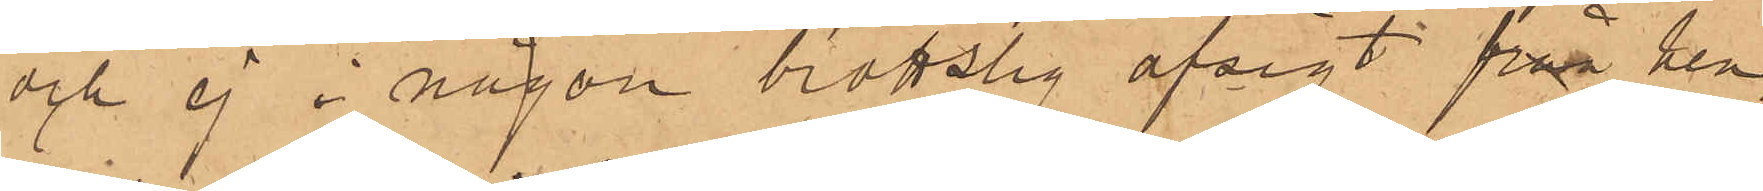och ej i någon brottslig afsigt från hen¬
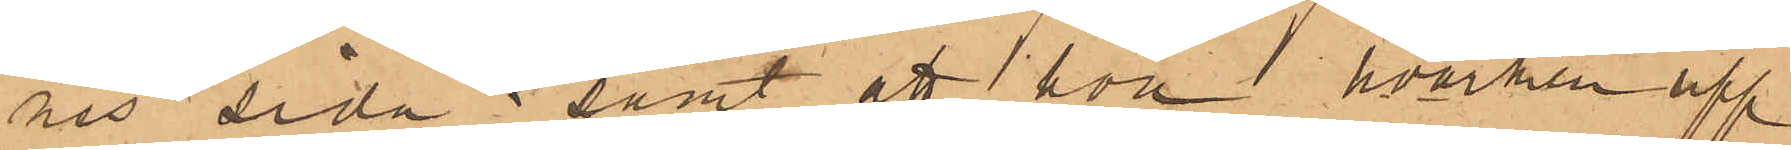nes sida; samt att hon hvarken upp¬
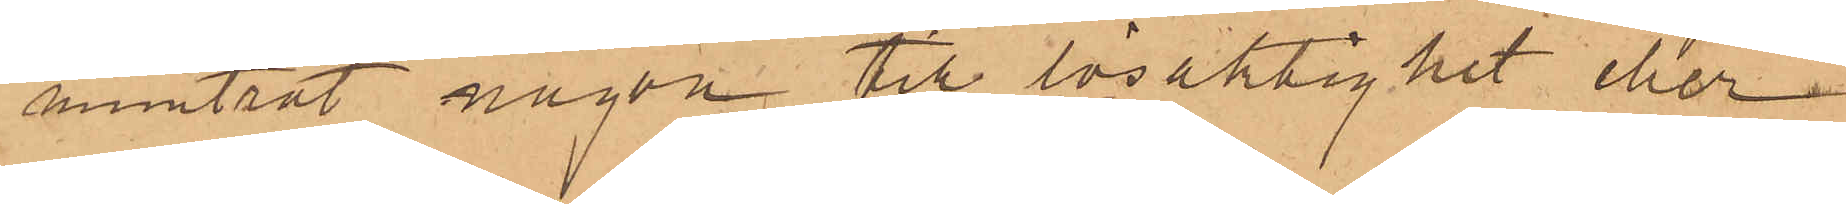muntrat någon till lösaktighet eller
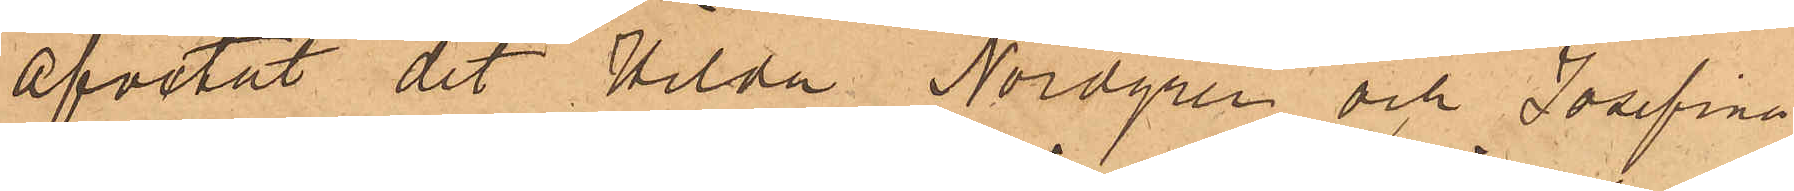afvetat det Hilda Nordgren och Josefina
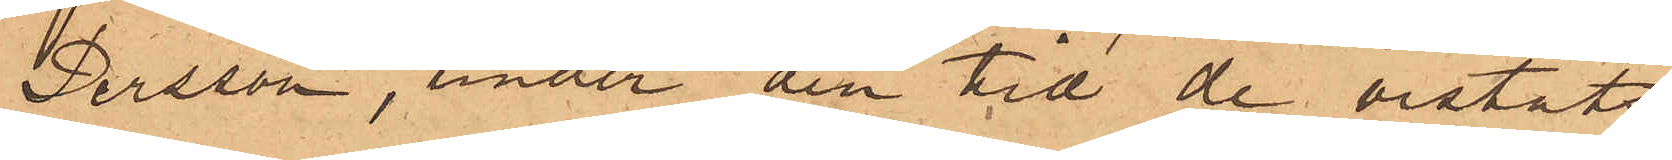Persson, under den tid de vistats
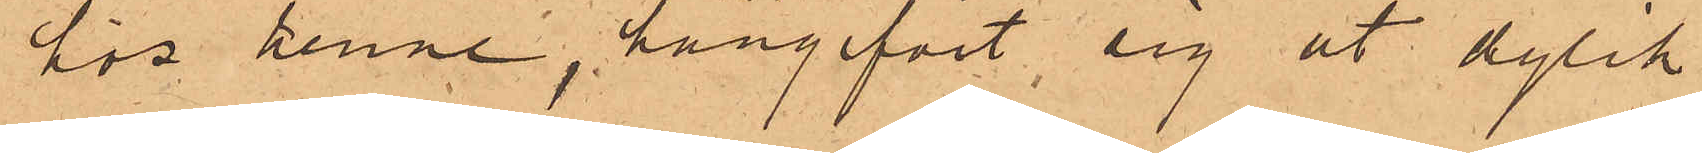för henne, hängifvit sig åt dylik
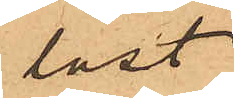last
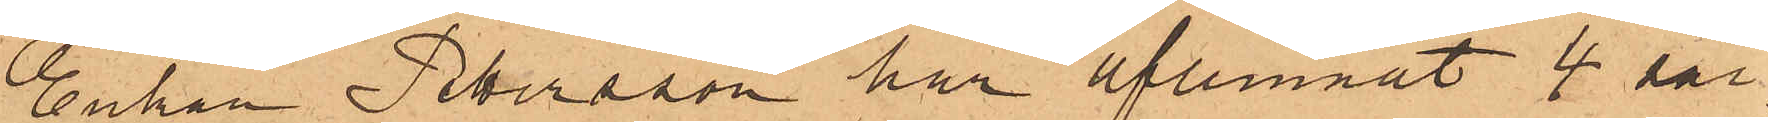Enkan Pettersson har aflemnat 4 sär¬
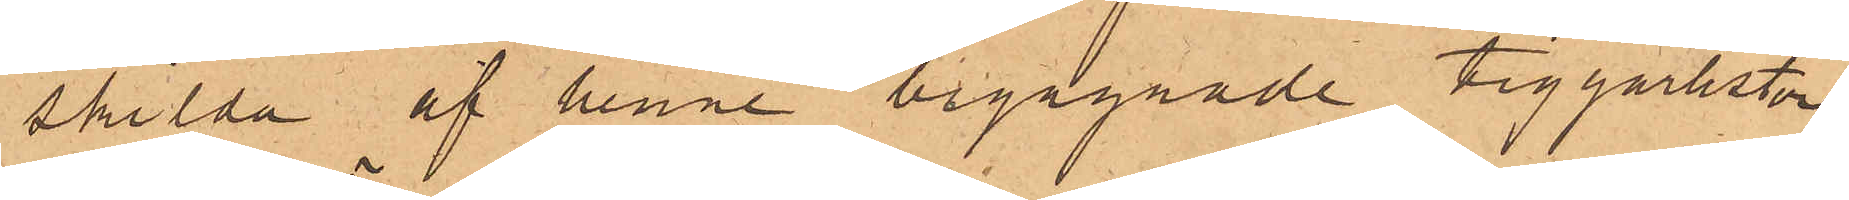skilda af henne begagnade tiggarlistor,
